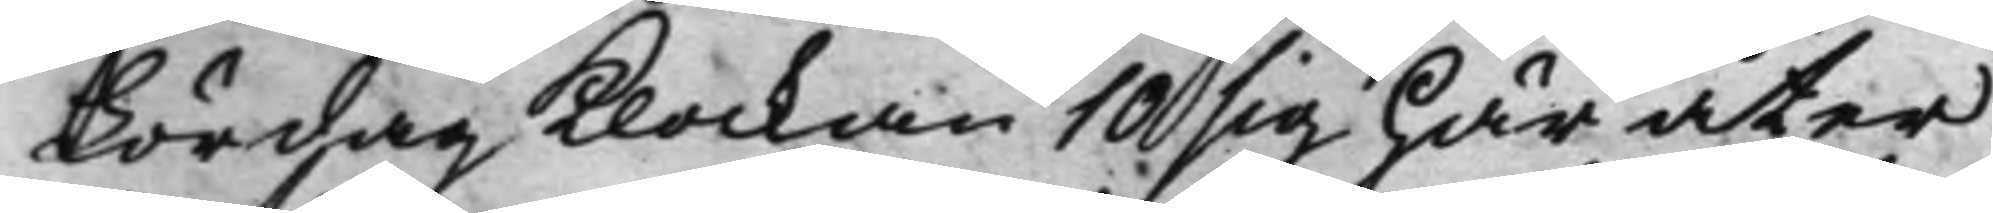Lördag Klockan 10 sig här åter
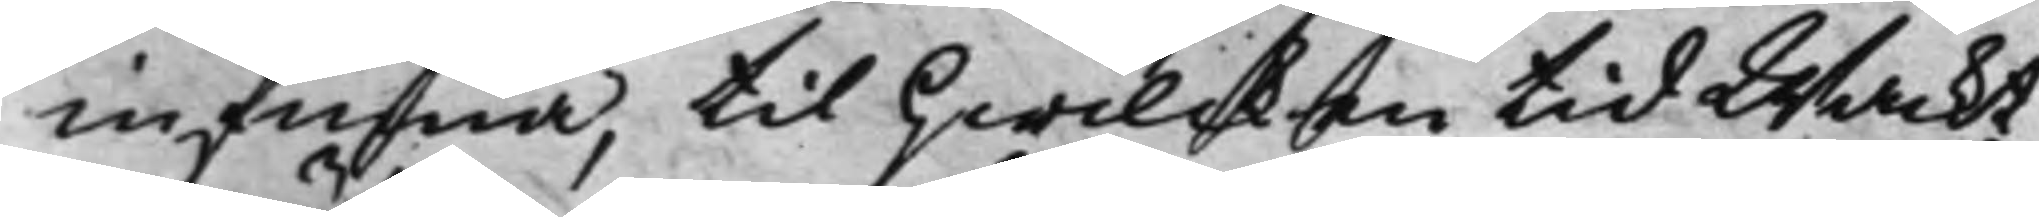infinna, til hwilcken tid Wackt¬
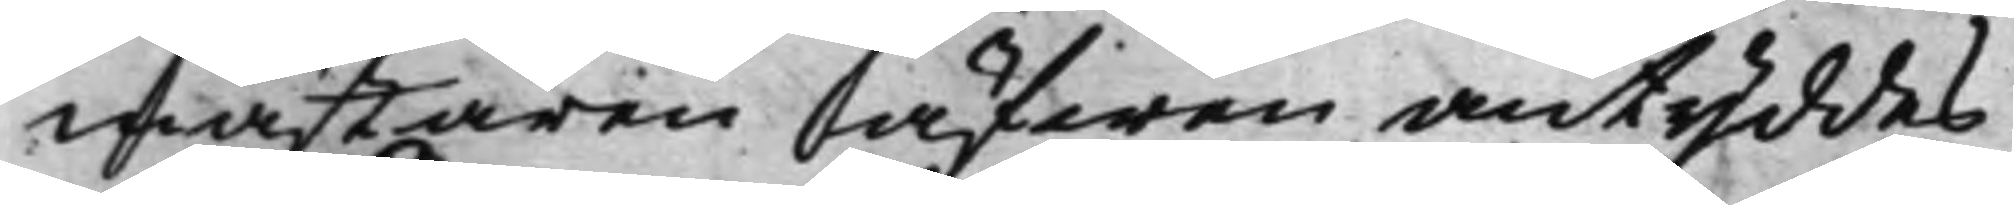mästaren äfwen antyddes
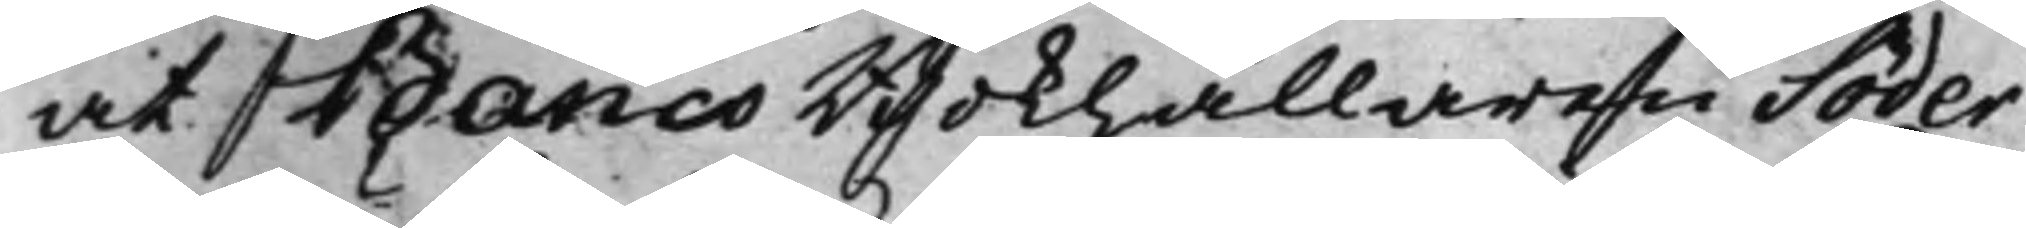at BancoBokhållaren Söder¬
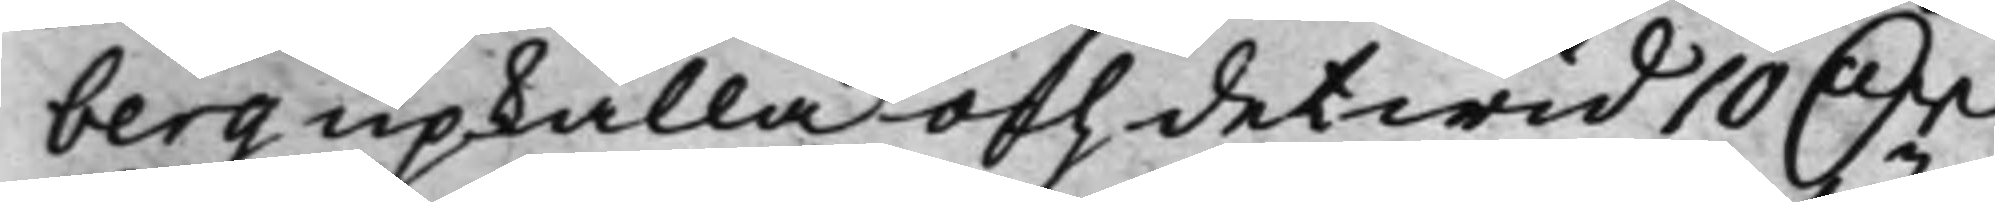berg upkalla och det wid 10 Dr
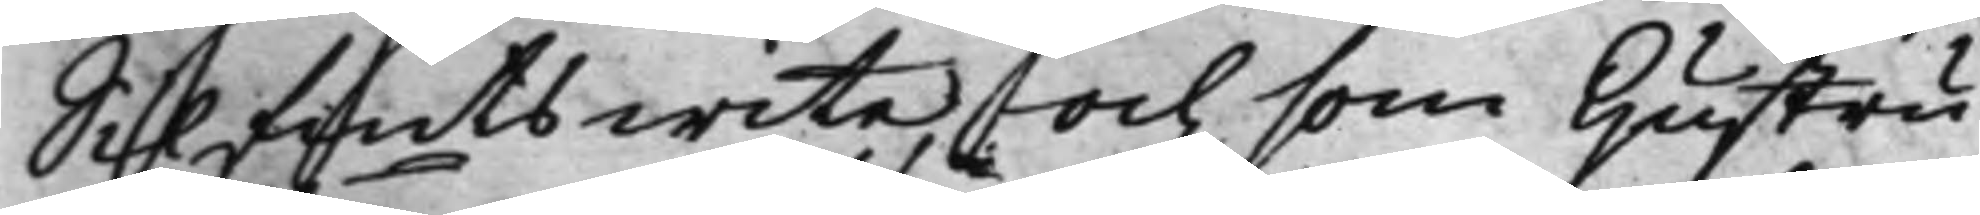Silfmts wite, och som Hustru
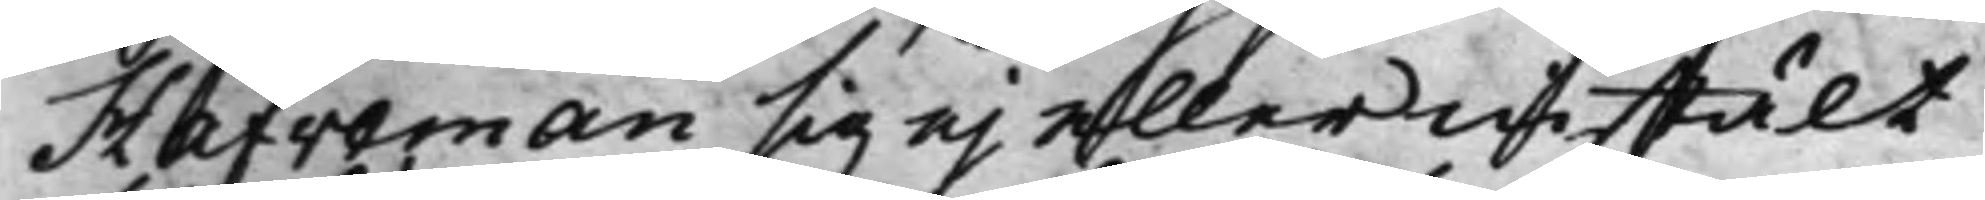Hafveman sig ej eller instält
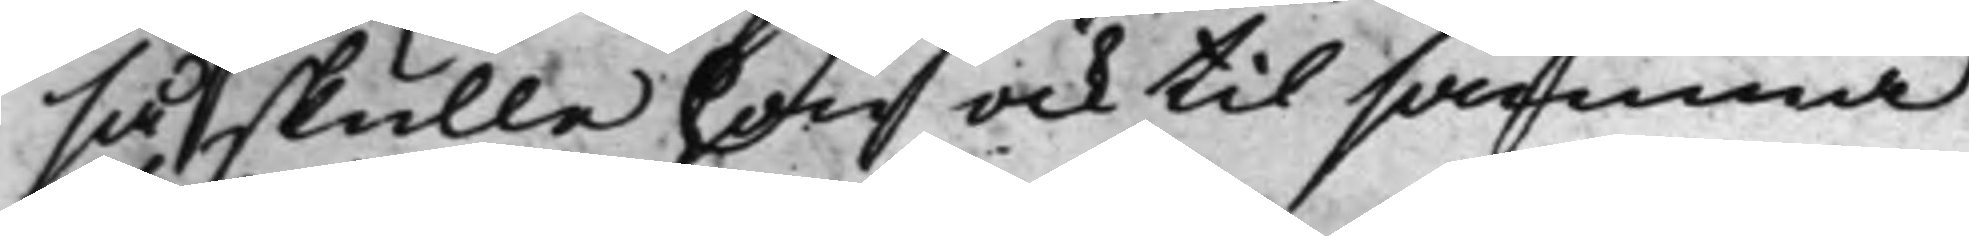så skulle hon ock til samma
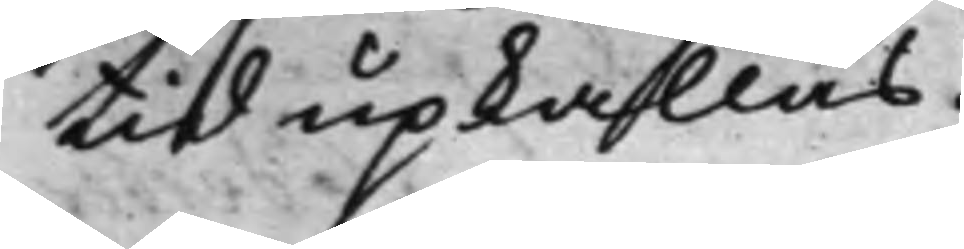tid upkallas.
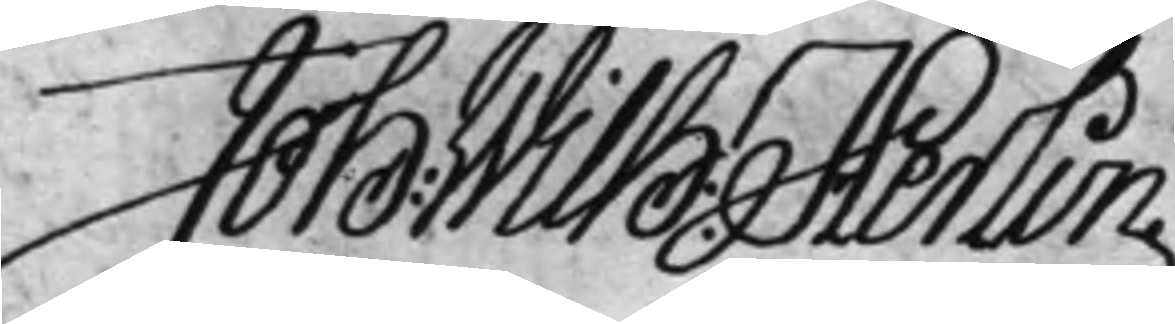Joh: Wilh: Herlin
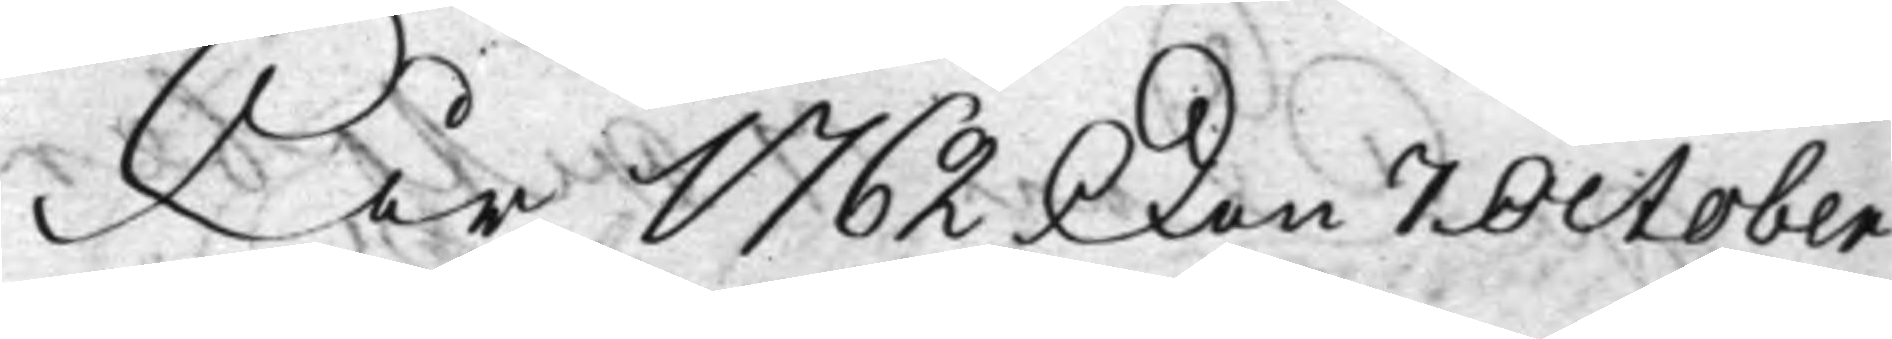År 1762 Den 7 October
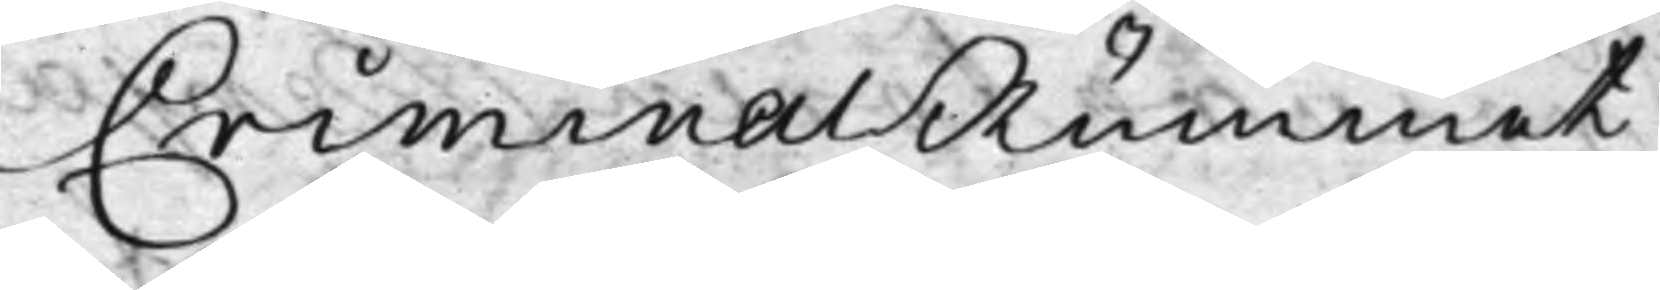CriminalRummet
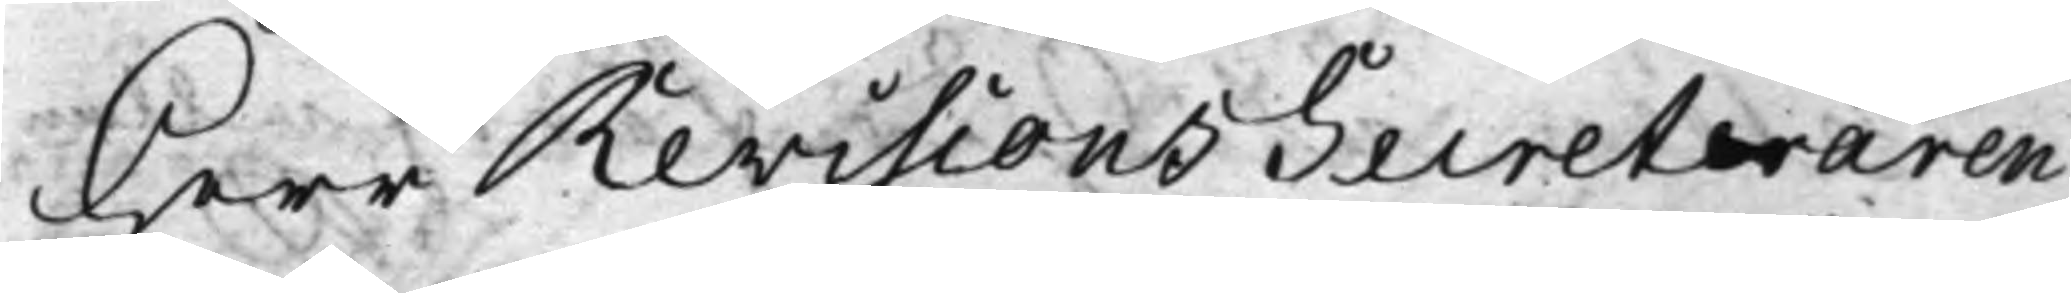Herr RevisionsSecreteraren
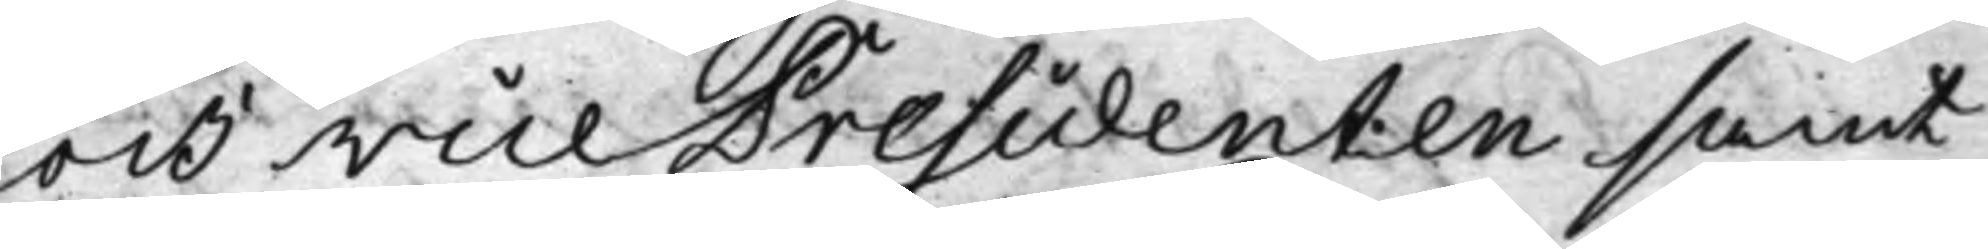och vice Presidenten samt
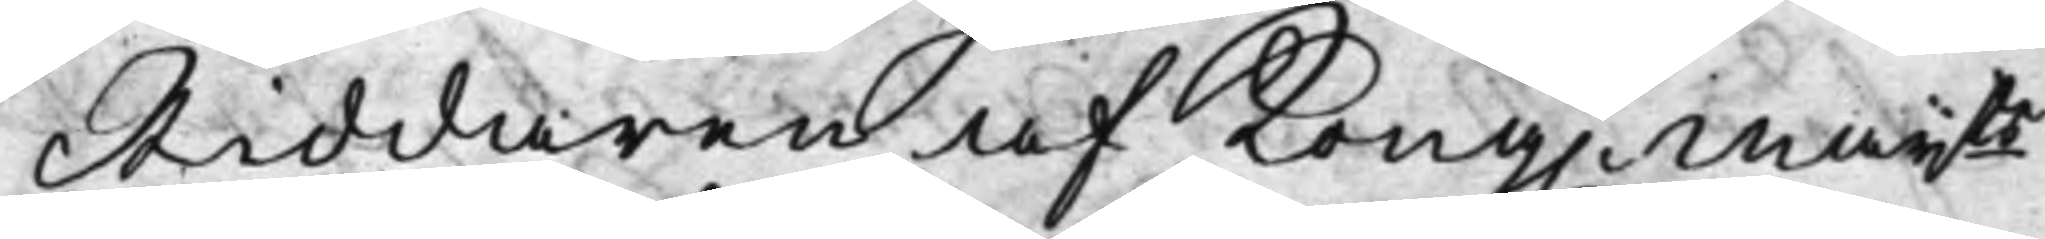Riddaren af Kong. Maijts
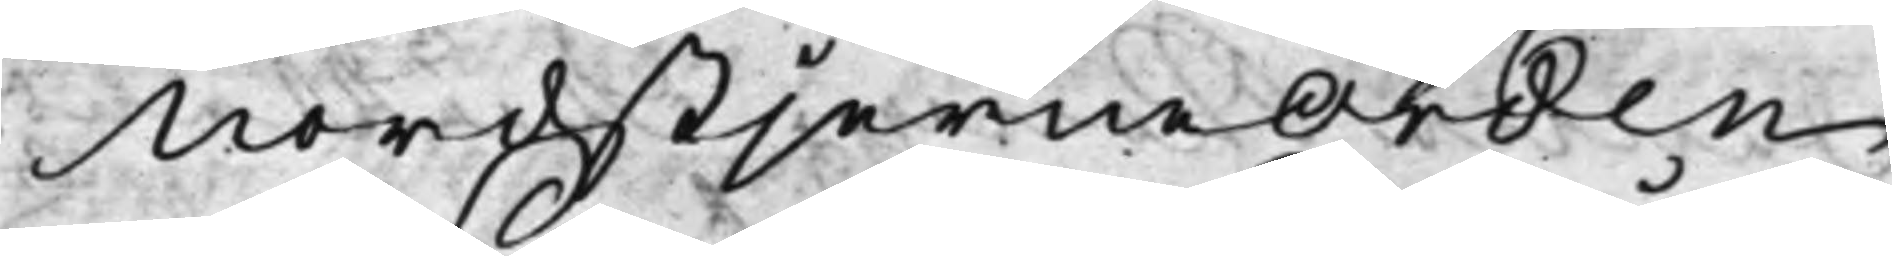NordstjerneOrden
